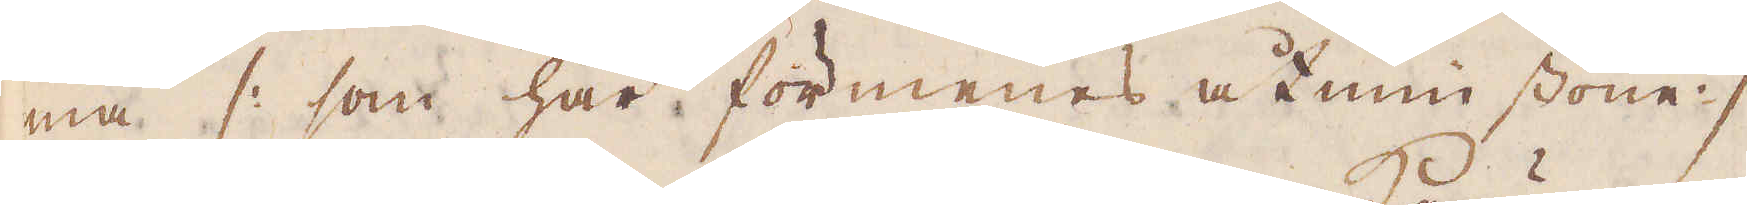ma /: som här förmenes åtminstone :/
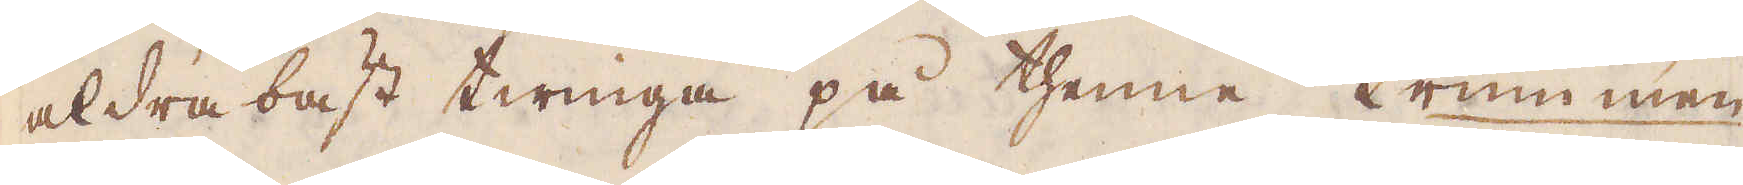aldrabäst twinga på thenne trummen
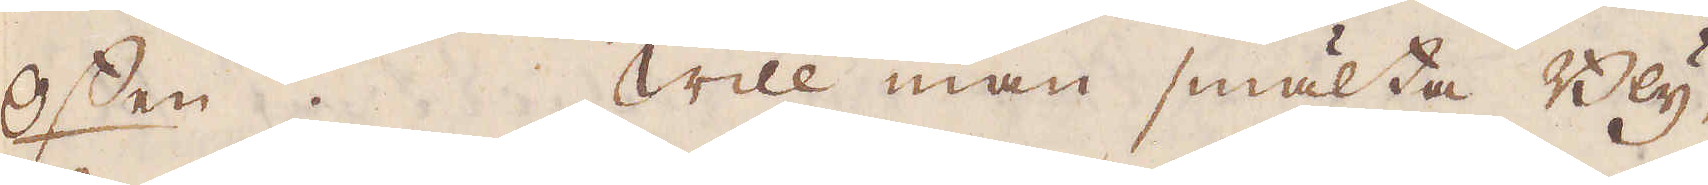offen. Will man smälta Bly,
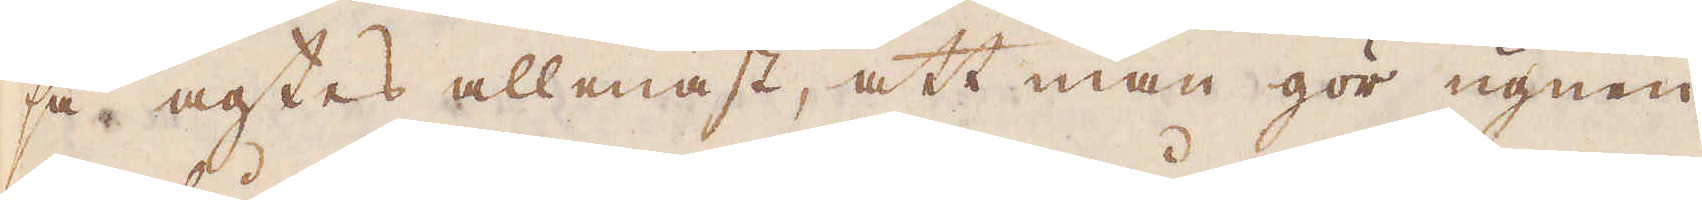så agtes allenast, att man gör ugnen
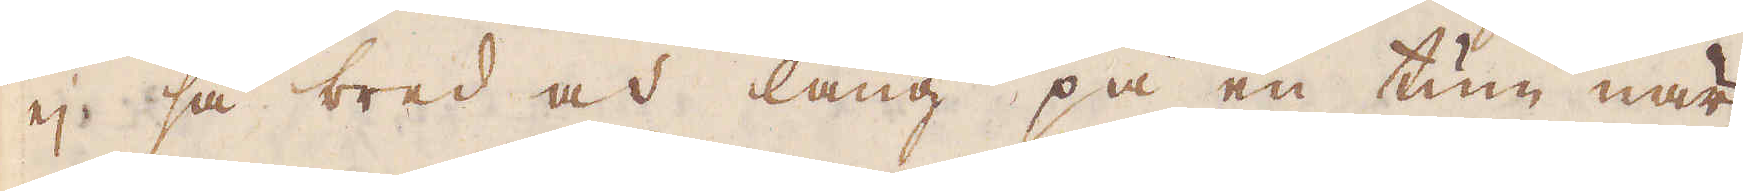ej så bred och lång på en tum, när
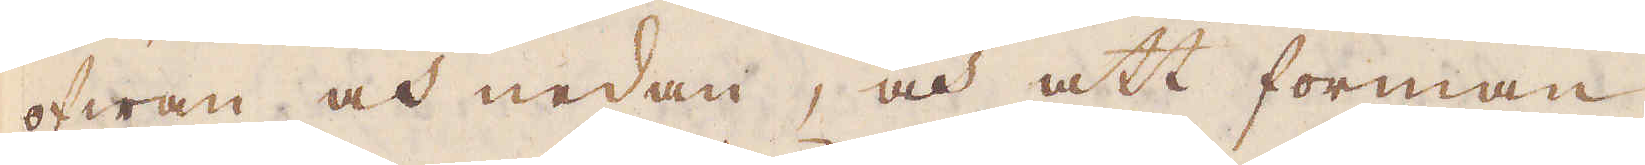ofwan och nedan, och att forman
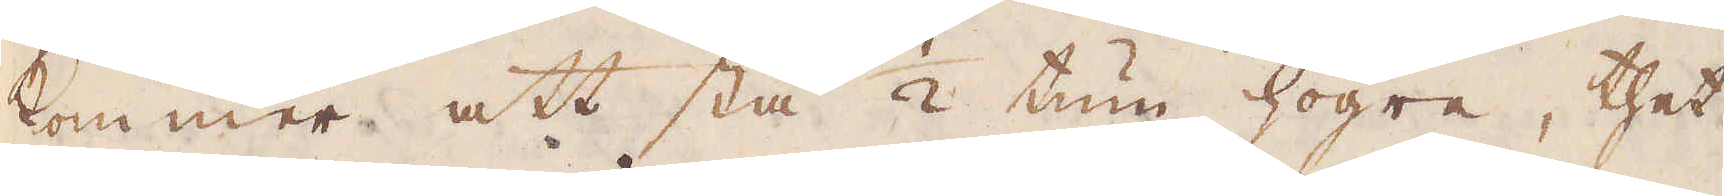kommer att stå 1/2 tum högre, thet
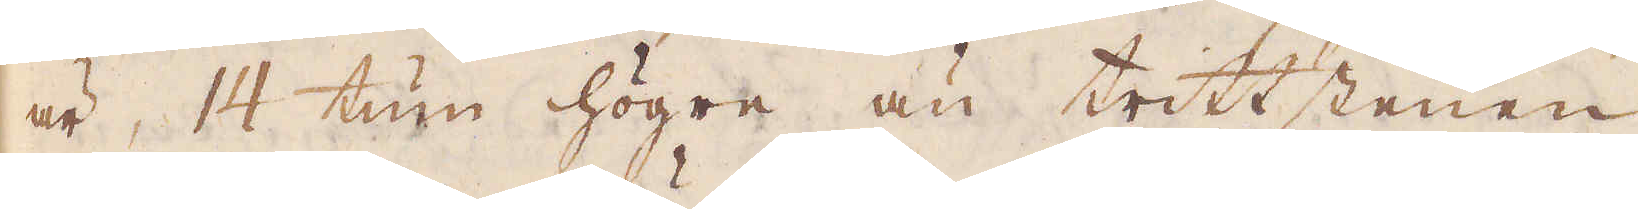är, 14 tum högre än trittstenen
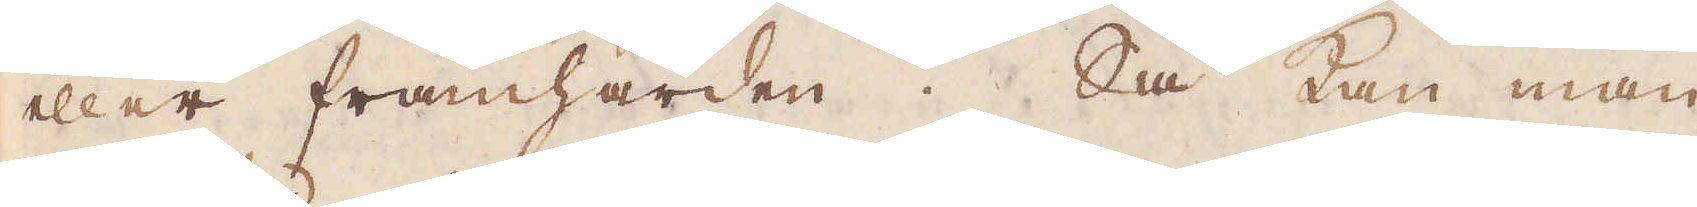eller framhärden. Så kan man
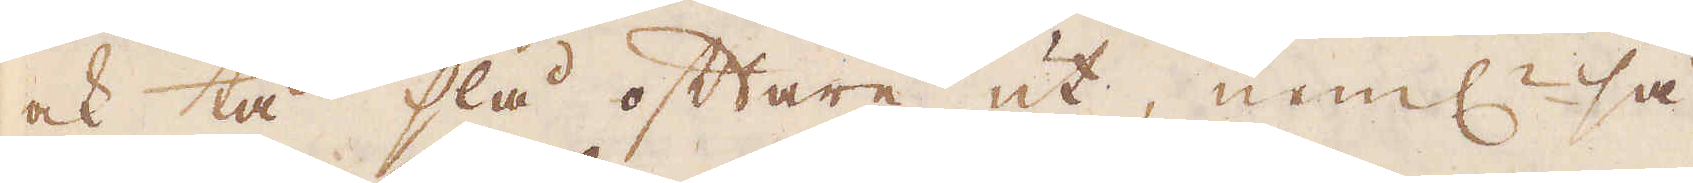ock tå slå oftare ut, neml:n så
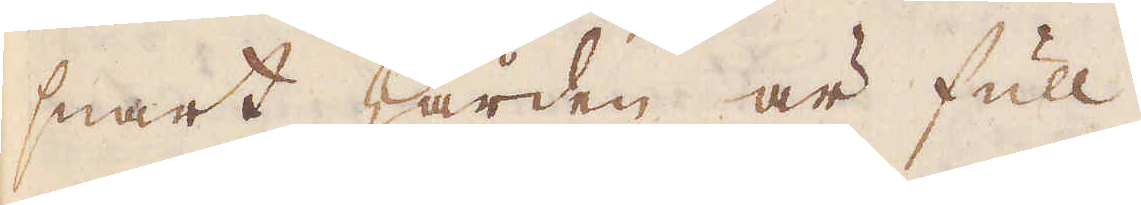snart härden är full.
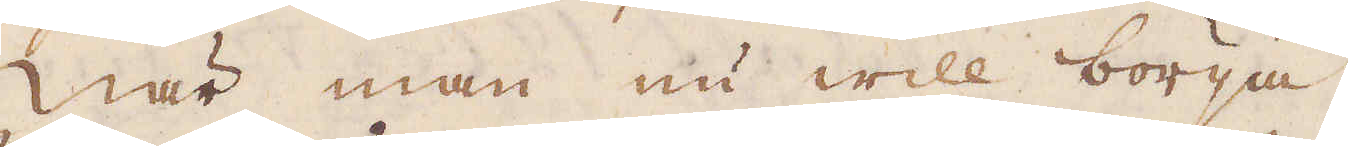När man nu will börja
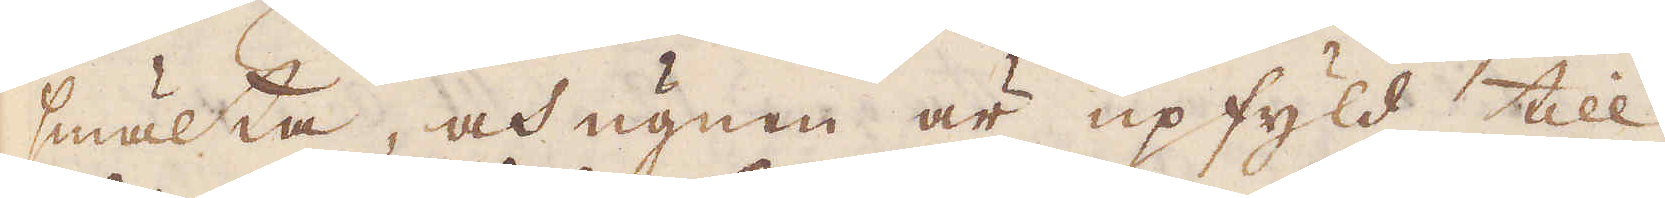smälta, och ugnen är upfyld till
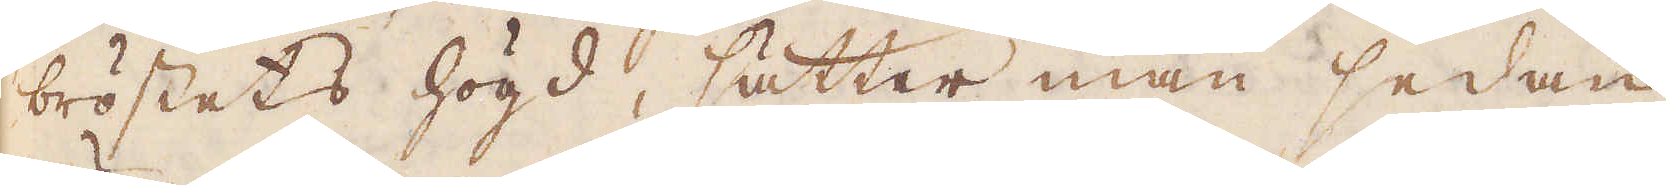bröstets högd, sätter man sedan
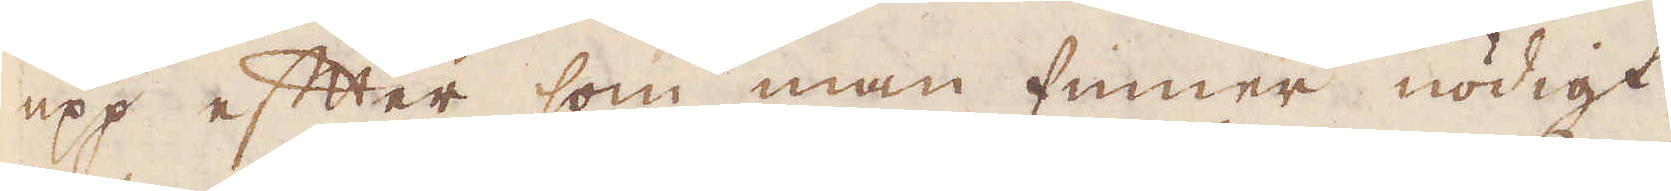upp efter som man finner nödigt
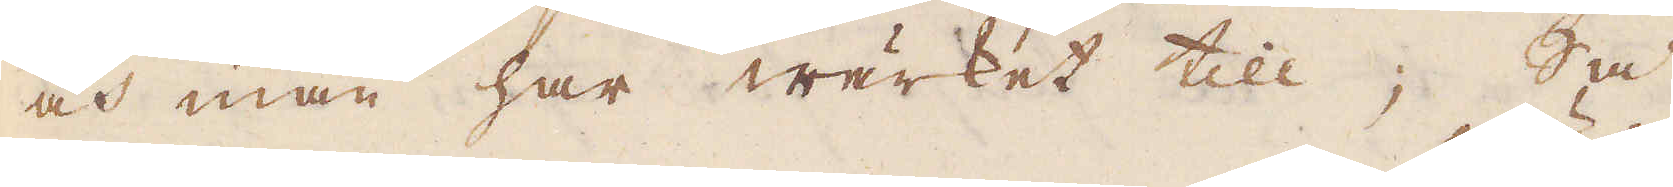och man har wärket till; Så
